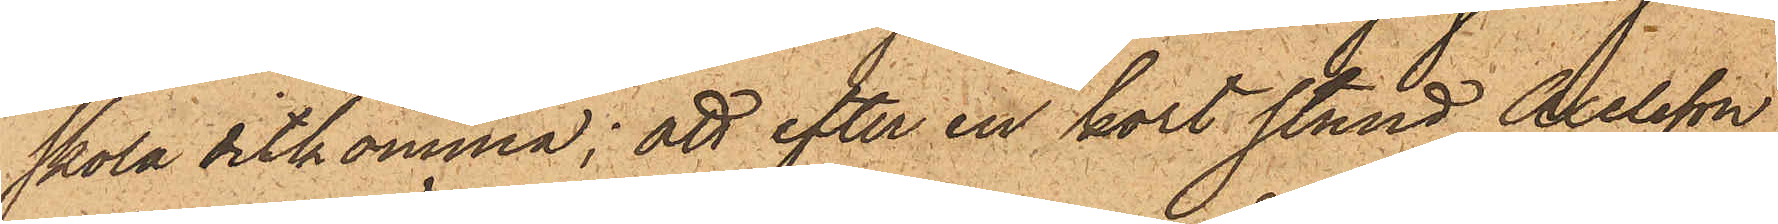skola ditkomma; att efter en kort stund Axelsson
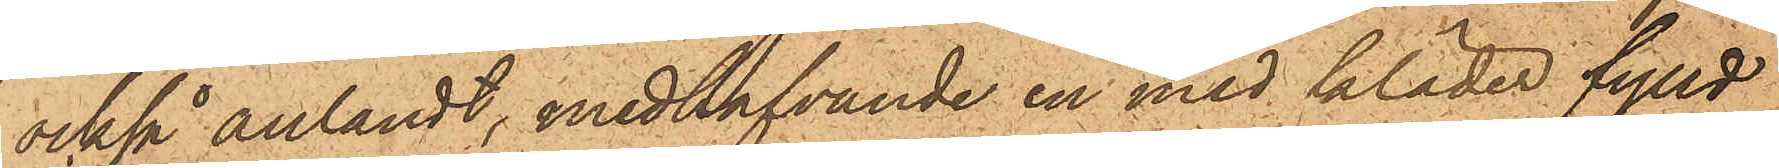också anländt, medhafvande en med kläder fylld
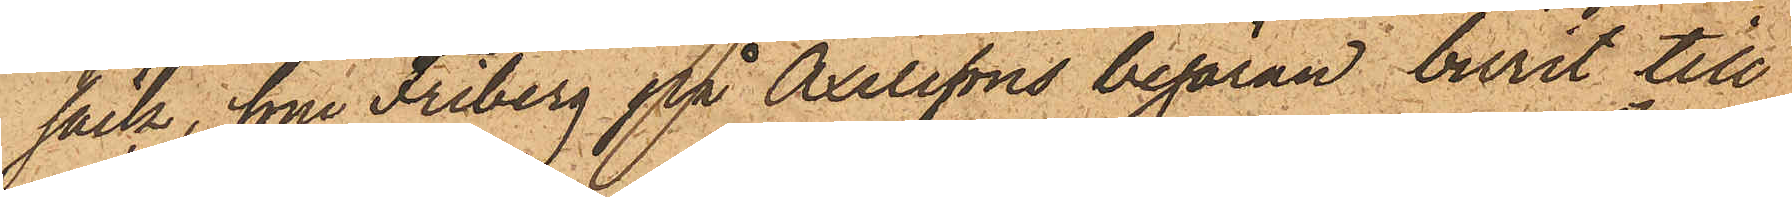säck, som Friberg på Axelssons begäran burit till
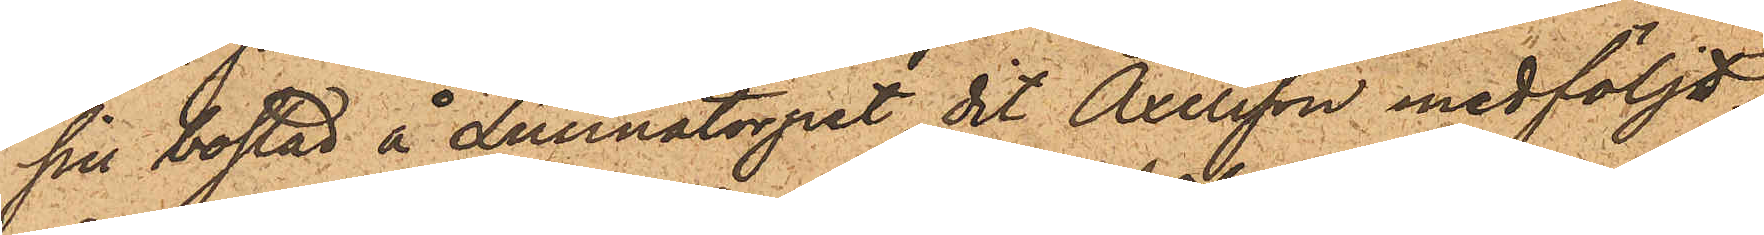sin bostad å Lunnatorpet dit Axelsson medföljdt;
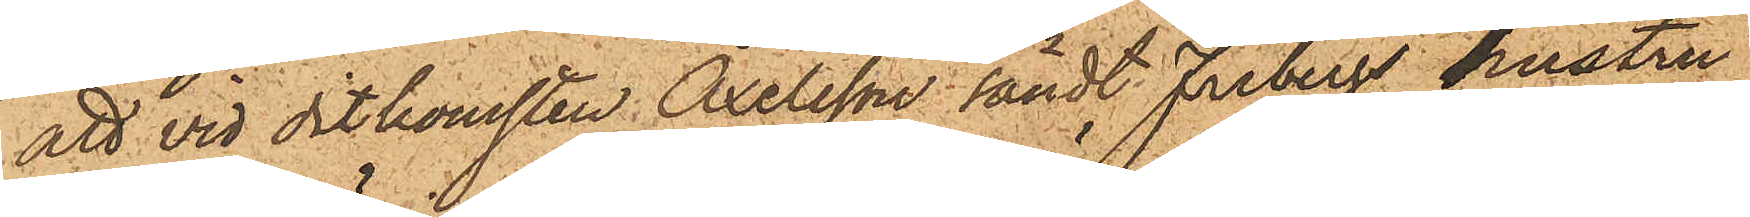att vid ditkomsten Axelsson sändt Fribergs hustru
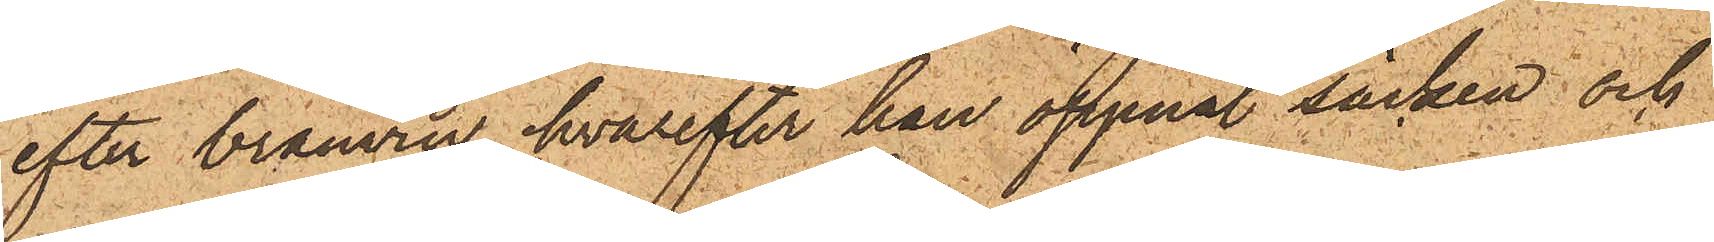efter bränvin, hvarefter han öppnat säcken och
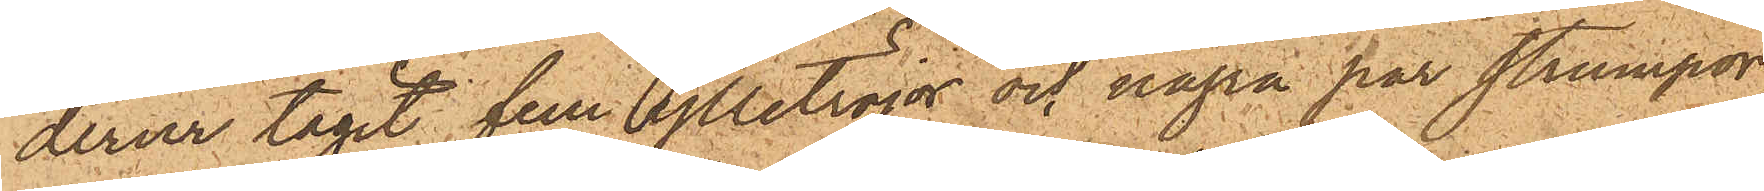derur tagit fem ylletröjor och några par strumpor,
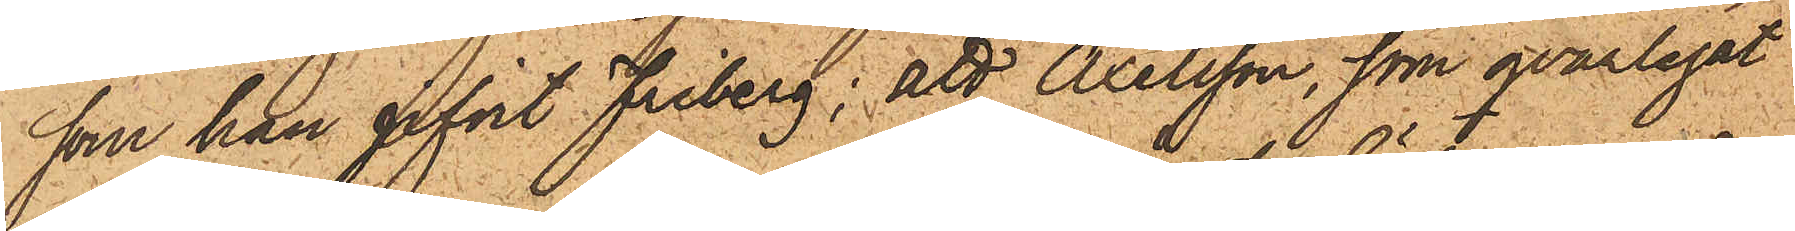som han gifvit Friberg; att Axelsson, som qvarlegat
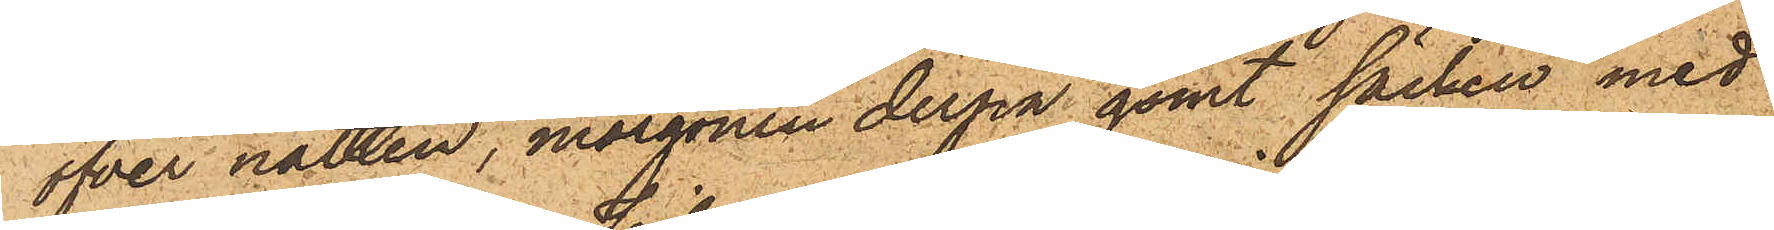öfver natten, morgonen derpå gömt säcken med
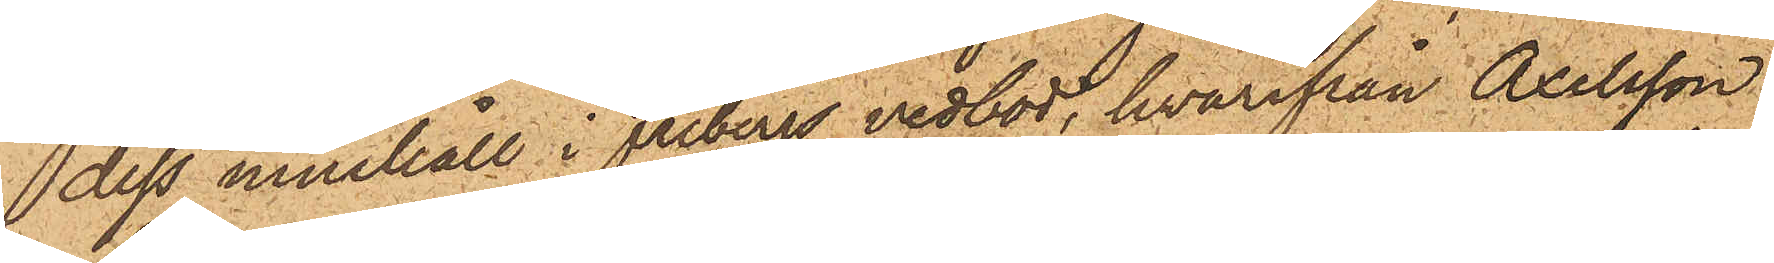dess innehåll i Fribergs vedbod, hvarifrån Axelsson
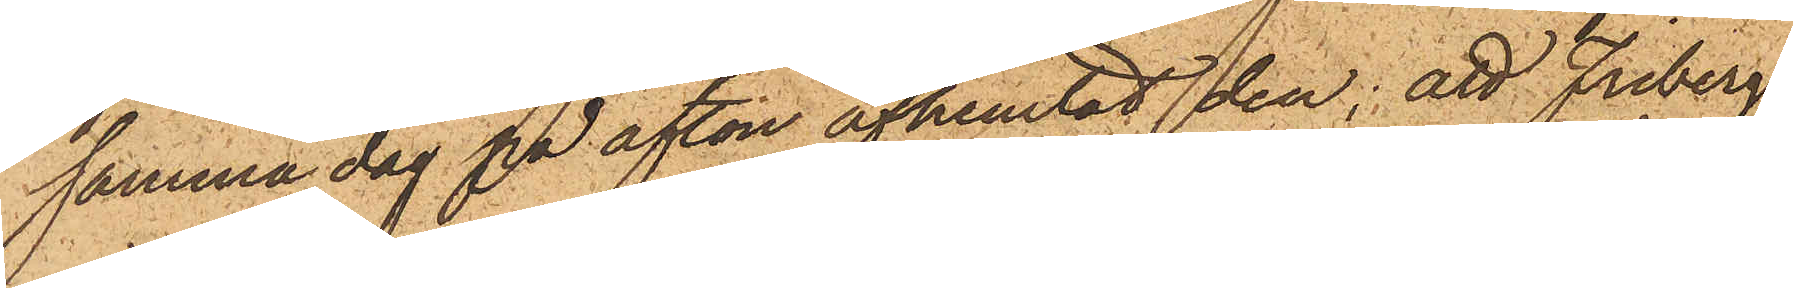samma dag på afton afhemtat den; att Friberg
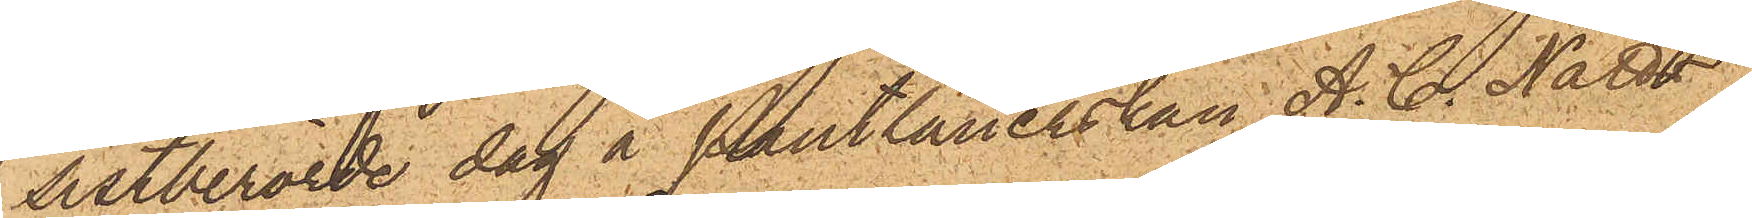sistberörde dag å Pantlånerskan A. C. Nätts
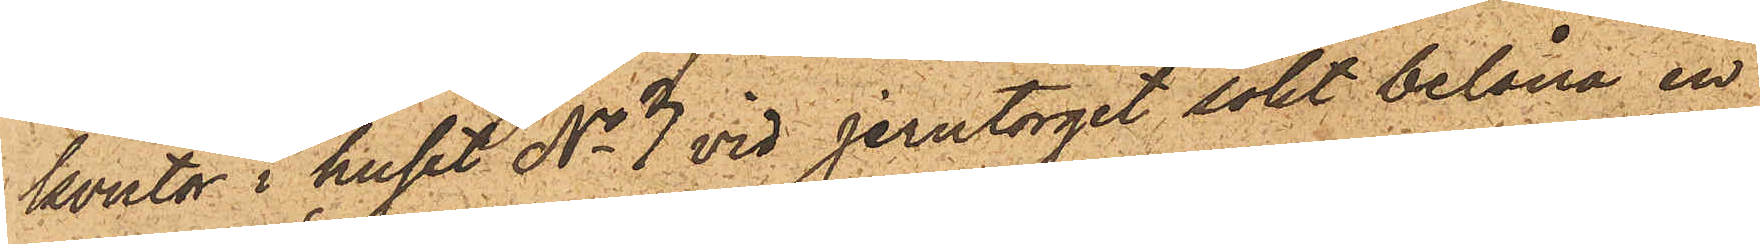kontor i huset No 3 vid Jerntorget sökt belåna en
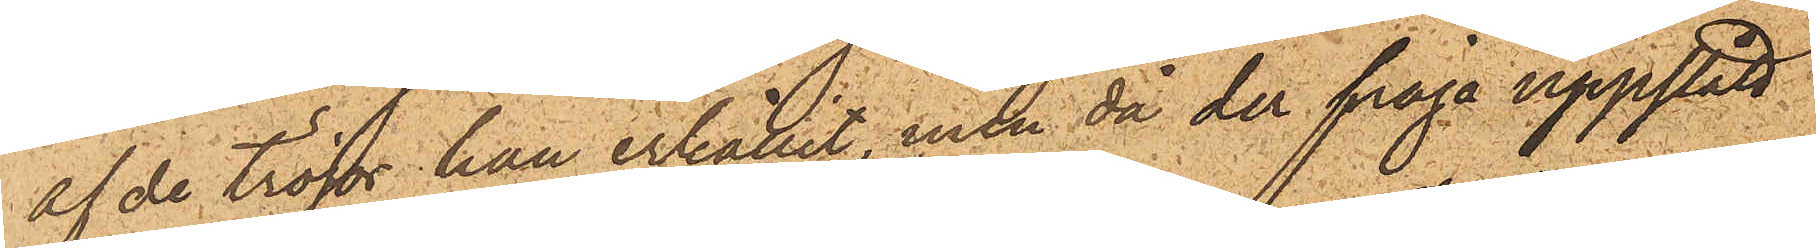af de tröjor han erhållit, men då der fråga uppstått
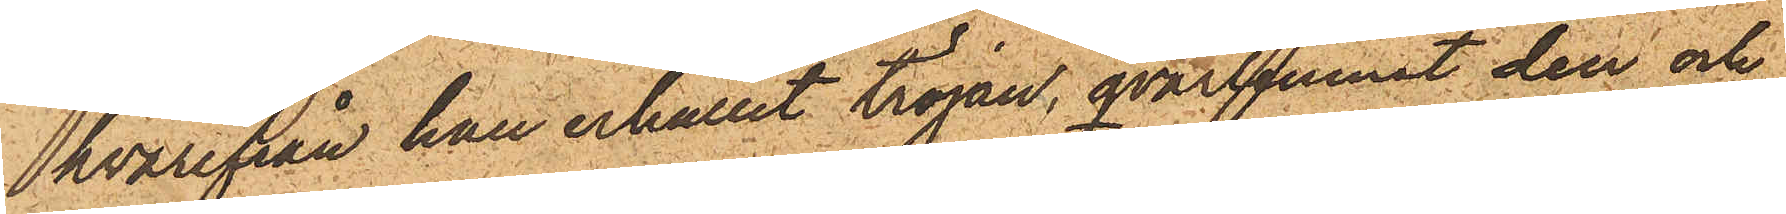hvarifrån han erhållit tröjan, qvarlemnat den och
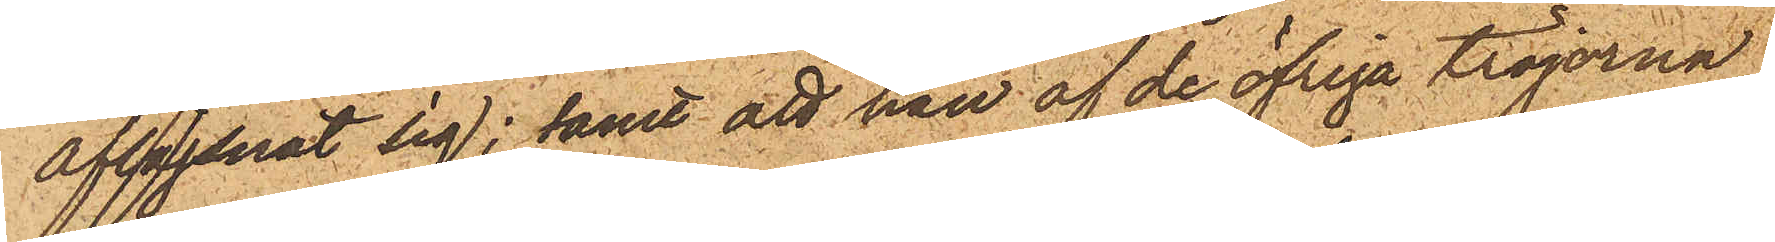aflägsnat sig; samt att han af de öfriga tröjorna
